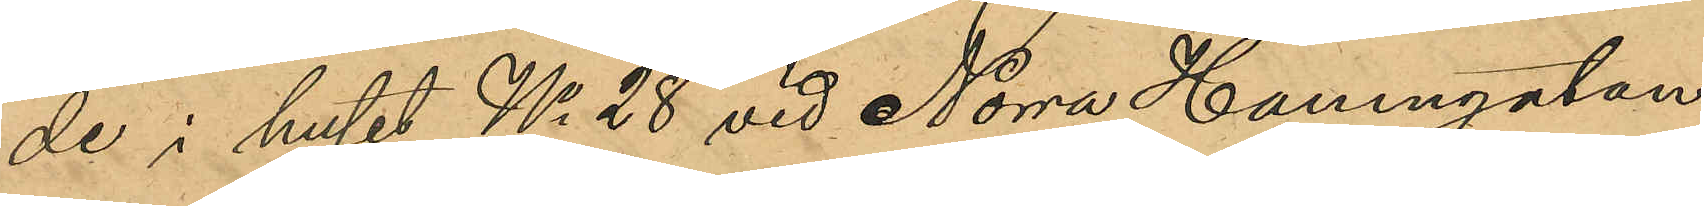de i huset No 28 vid Norra Hamngatan
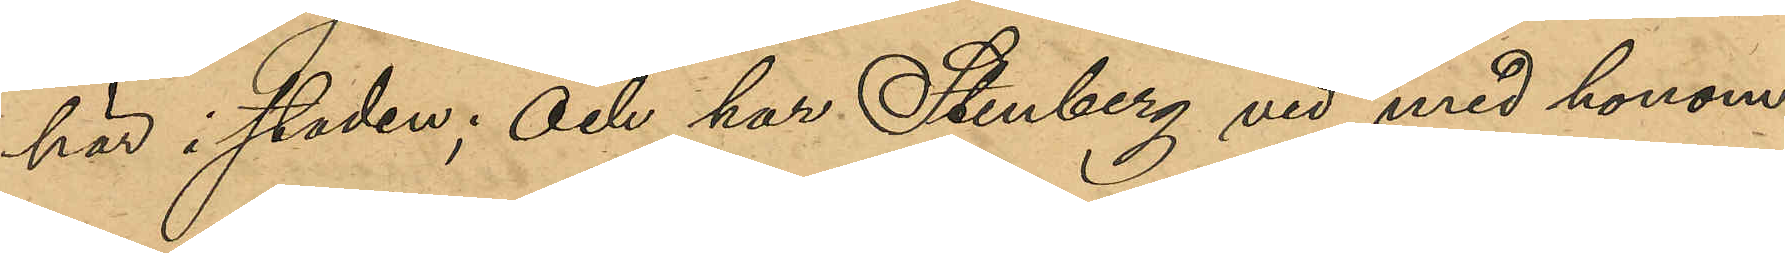här i staden; och har Stenberg vid med honom
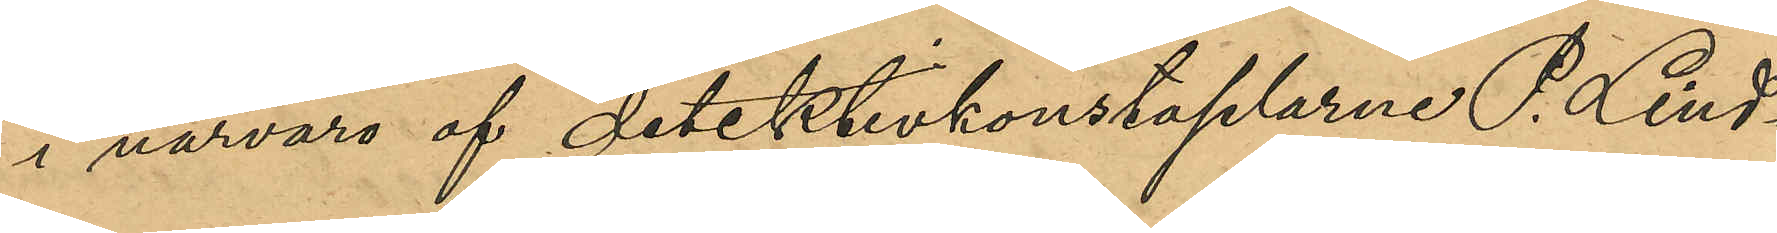i närvaro af detektivkonstaplarne P. Lind¬
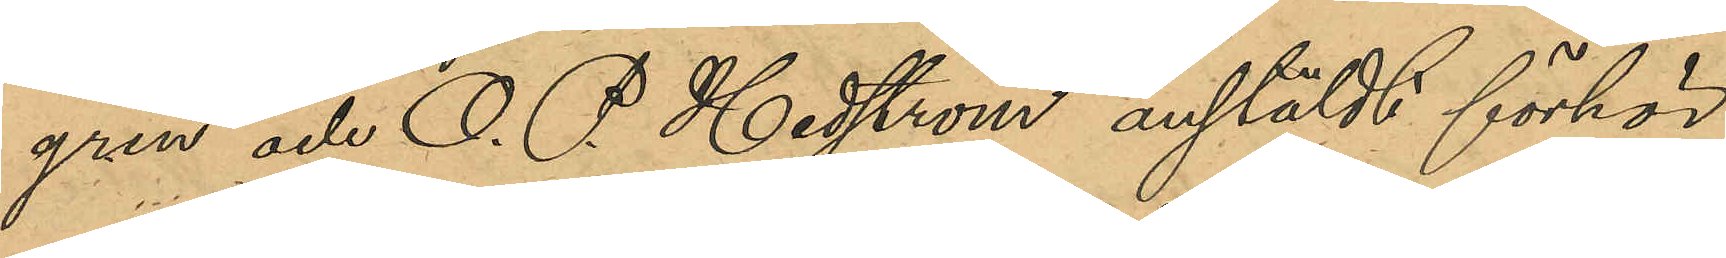gren och O. P. Hedström anstäldt förhör
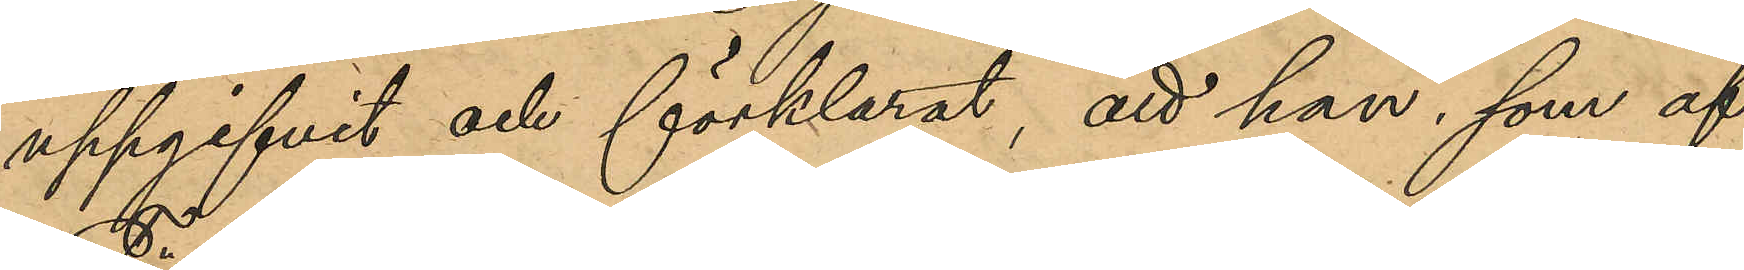uppgifvit och förklarat, att han, som af
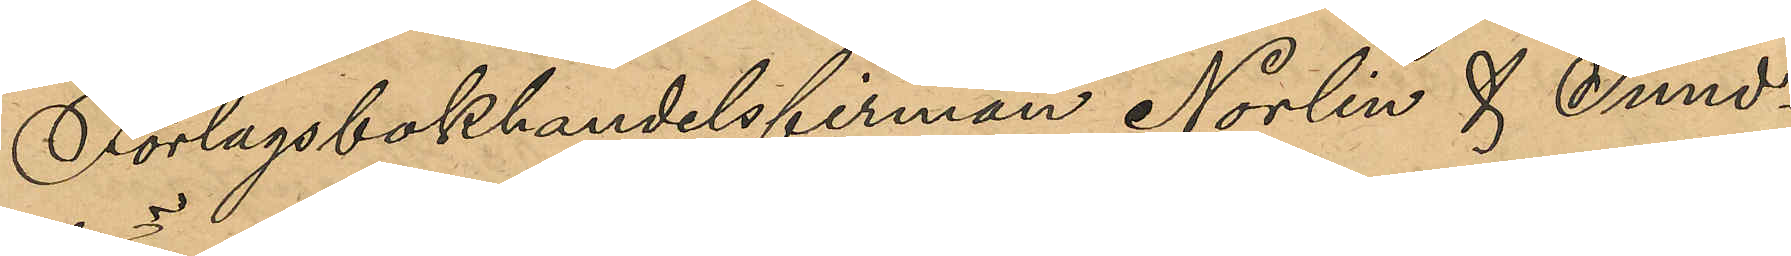Förlagsbokhandelsfirman Norlin & Sund¬
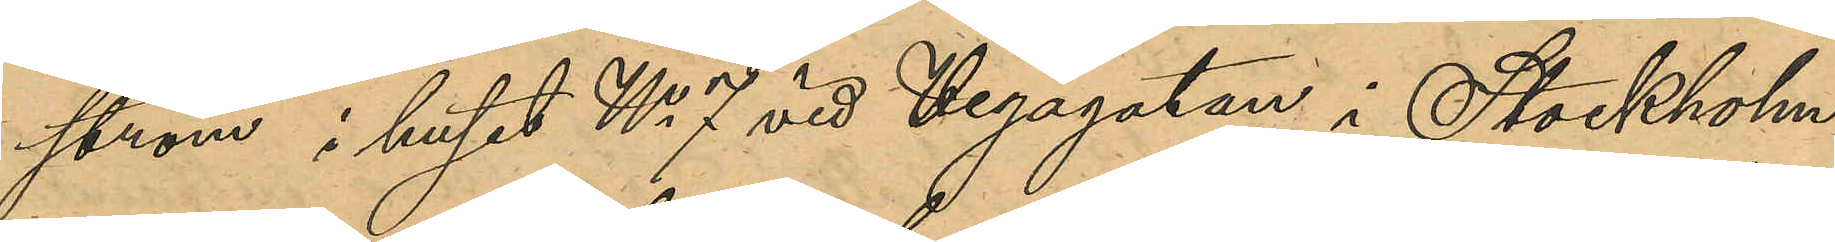sröm i huset No 7 vid Vegagatan i Stockholm
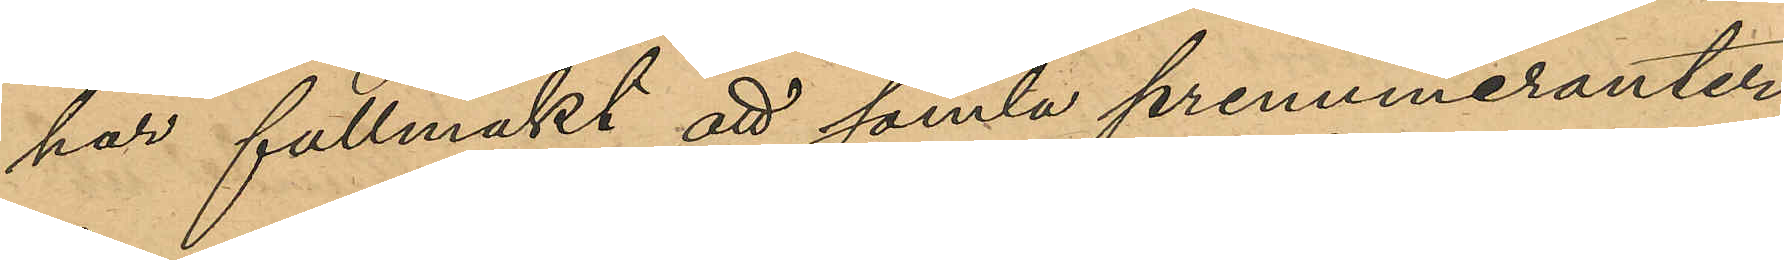har fullmakt att samla prenumeranter
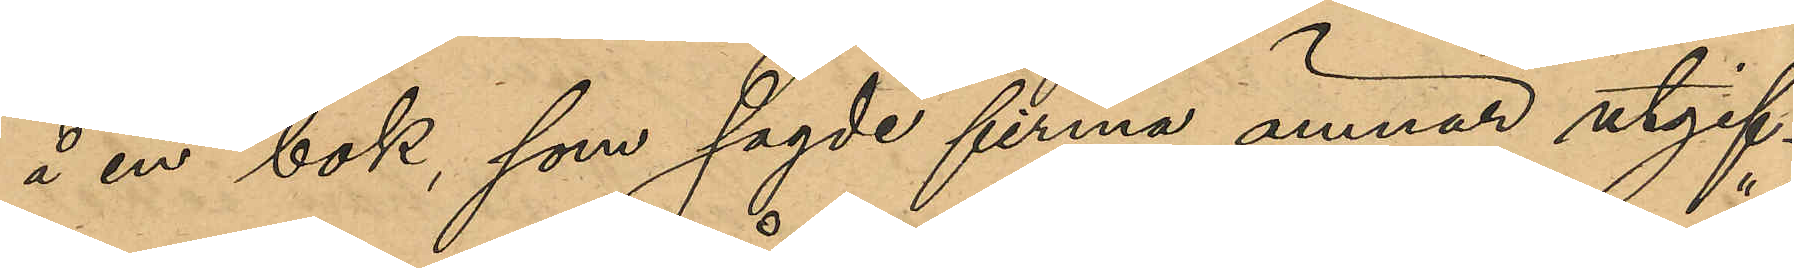å en bok, som sagde firma ämnar utgif¬
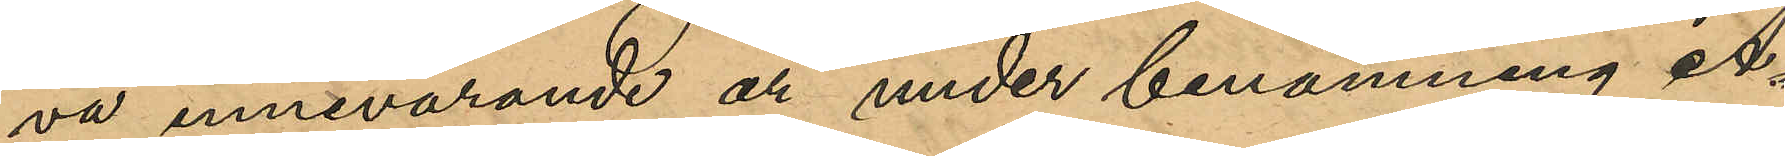va innevarande år under benämning "A¬
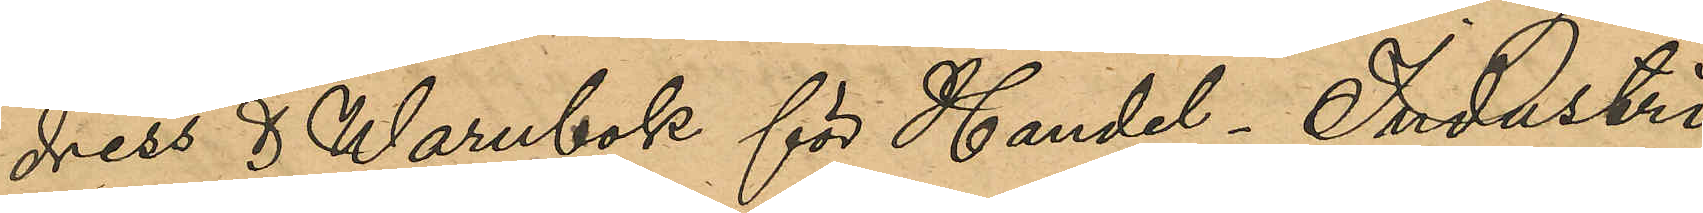dress & Warubok för Handel-Industri
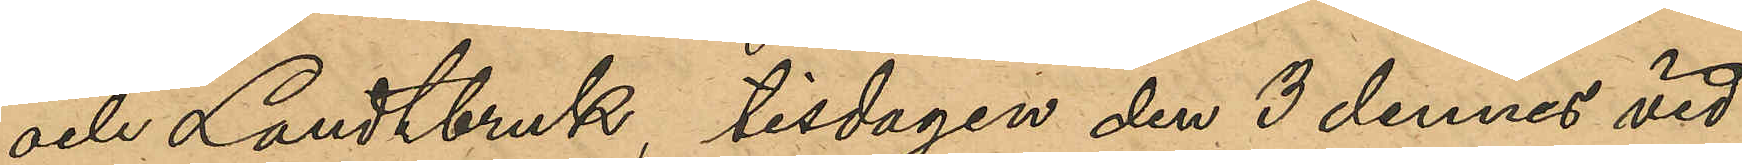och Landtbruk, tisdagen den 3 dennes vid
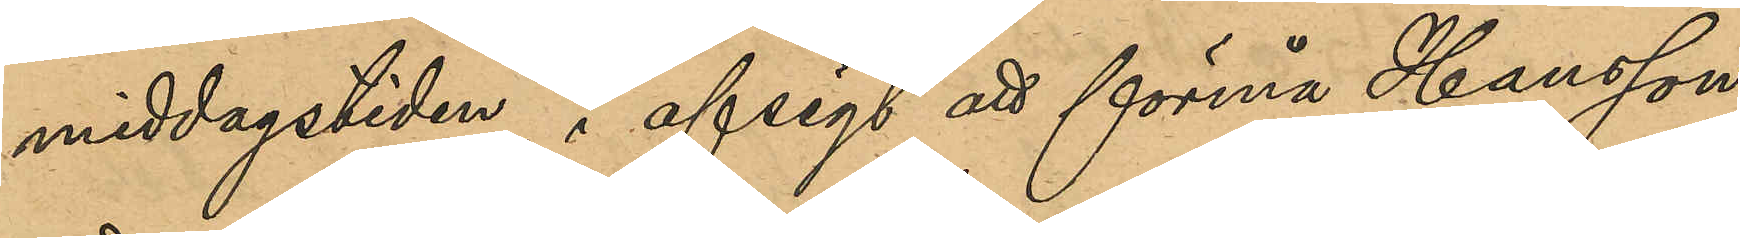middagstiden, i afsigt att förmå Hansson
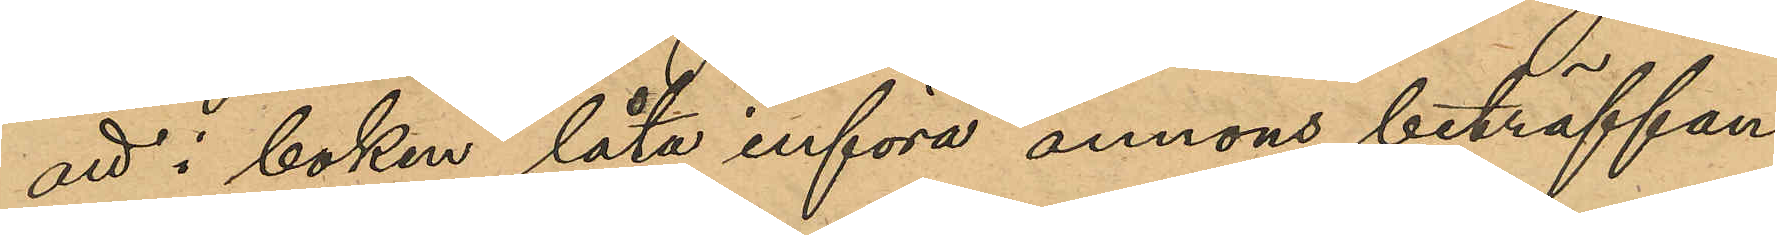att i boken låta införa annons beträffan¬
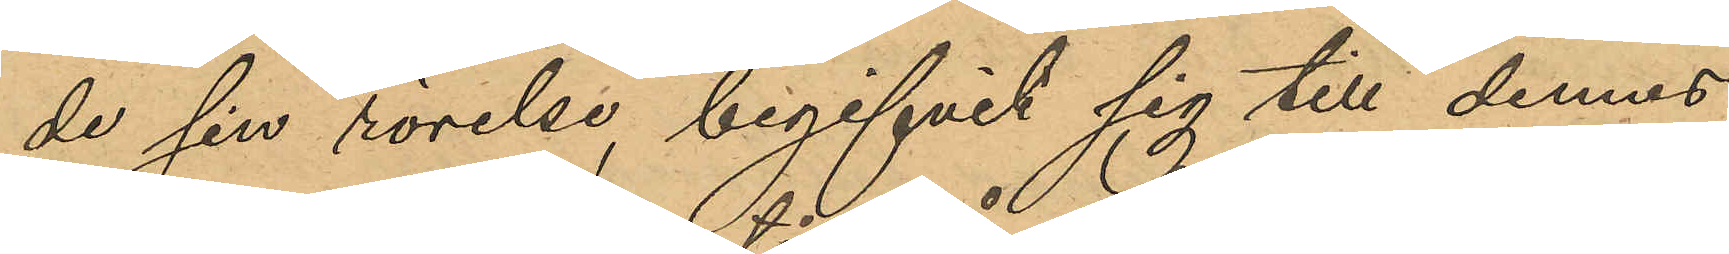de sin rörelse, begifvit sig till dennes
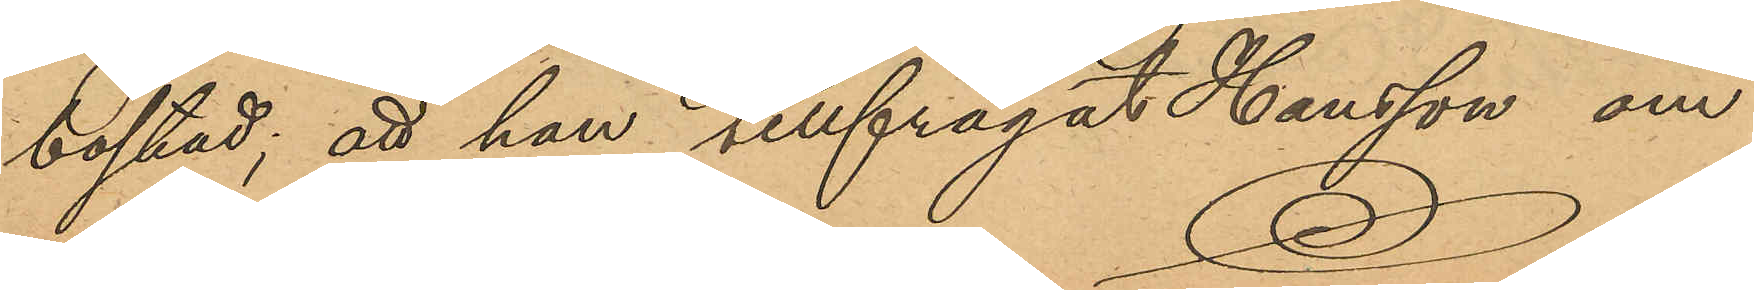bostad, att han tillfrågat Hansson om
